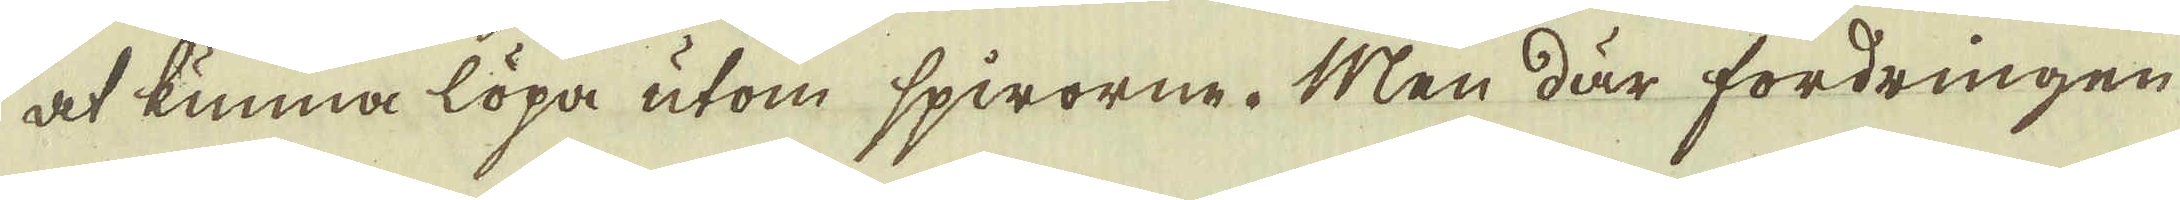at kunna löpa utom spirorne. Men där fordringen
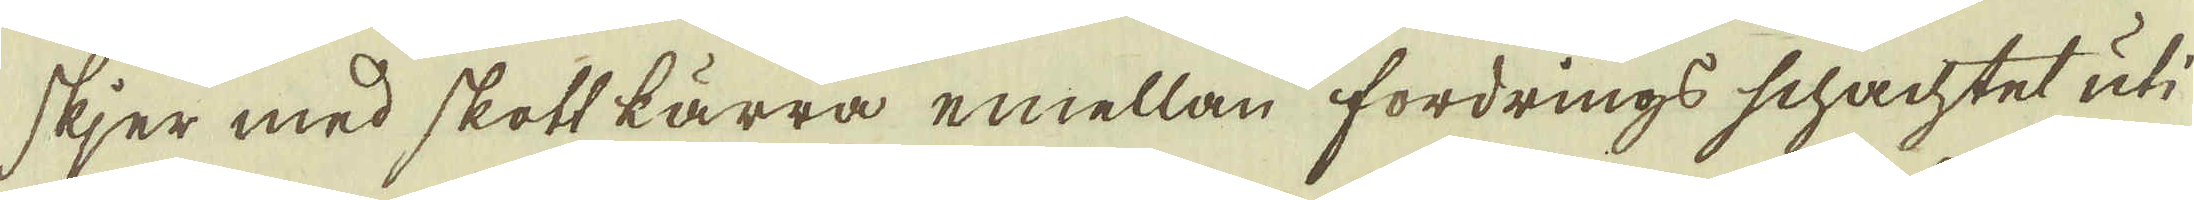skjer med skott kärra emellan fordrings schachtet uti
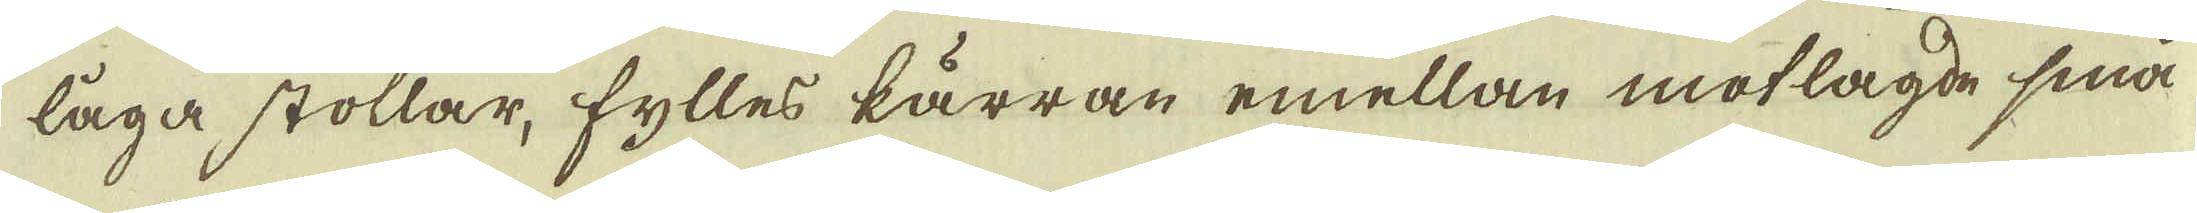låga stollar, fylles kärran emellan motlagde små
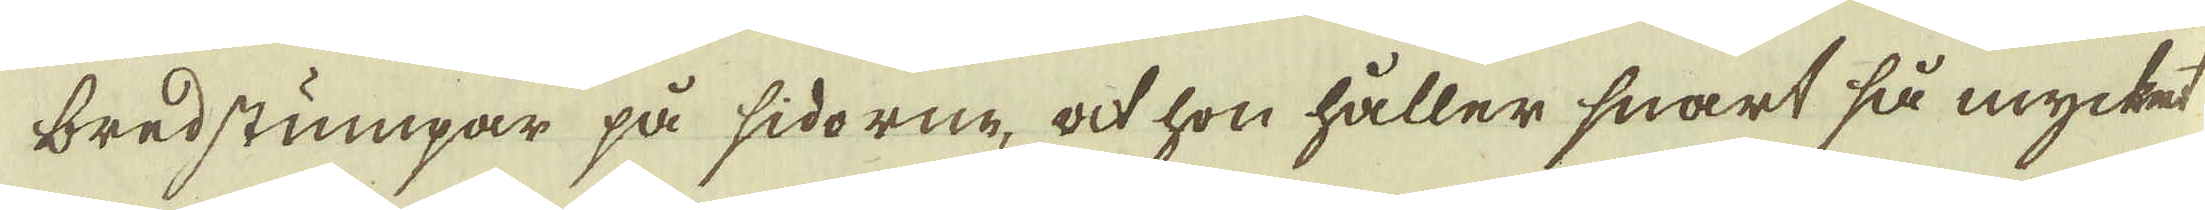bredstumpar på sidorne, at hon håller snart så mycket
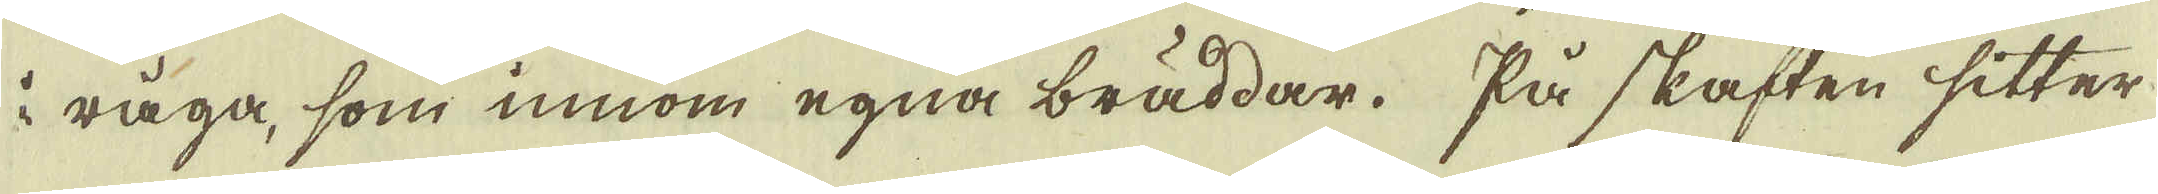i råga, som innom egna bräddar. På skaften sitter
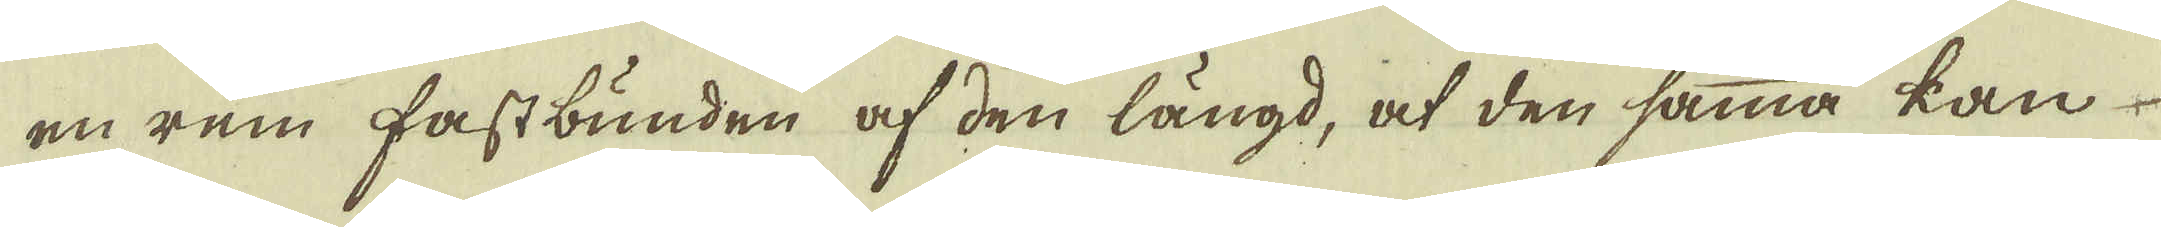en rem fastbunden af den längd, at den samma kan
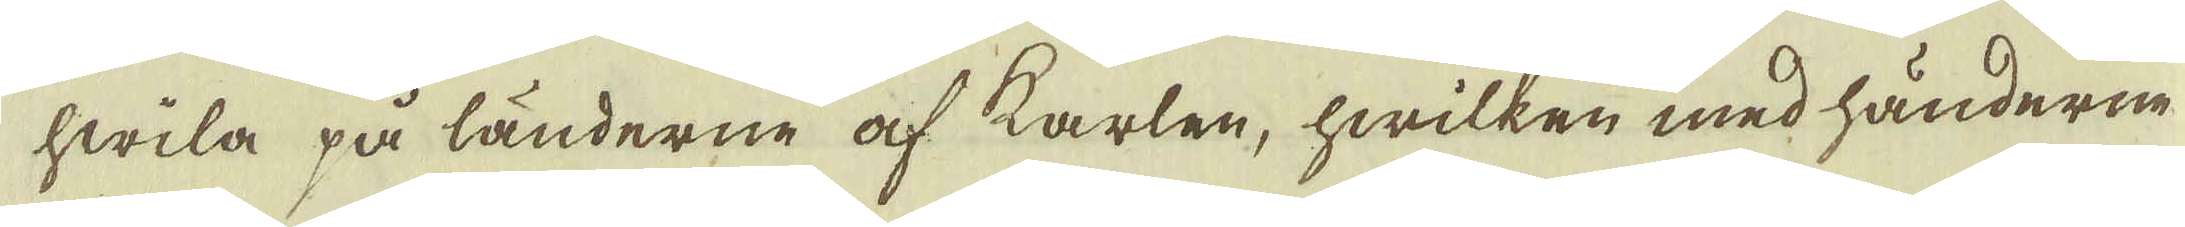hwila på länderne af karlen, hwilken med händerne
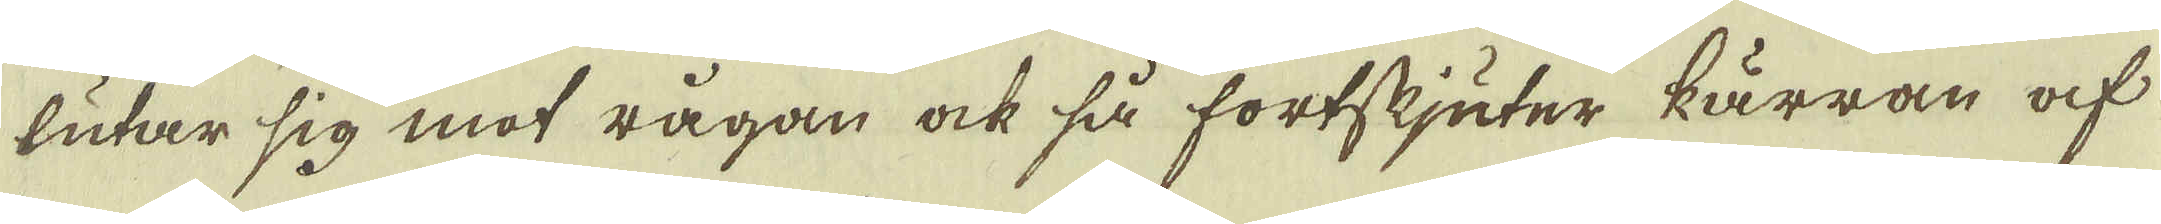lutar sig mot rågan ock så fortskjuter kärran af
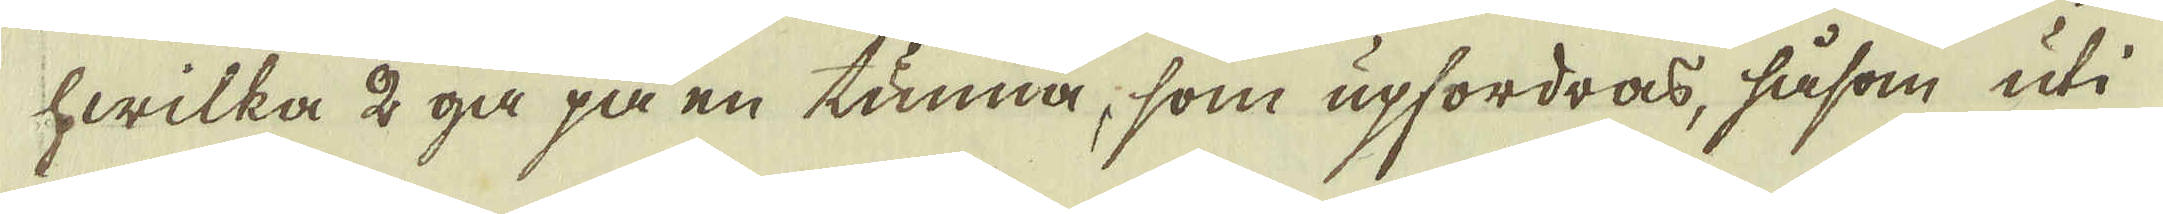hwilka 2 gå på en tunna, som upfordras, såsom uti
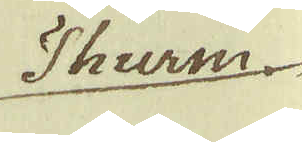Thurm
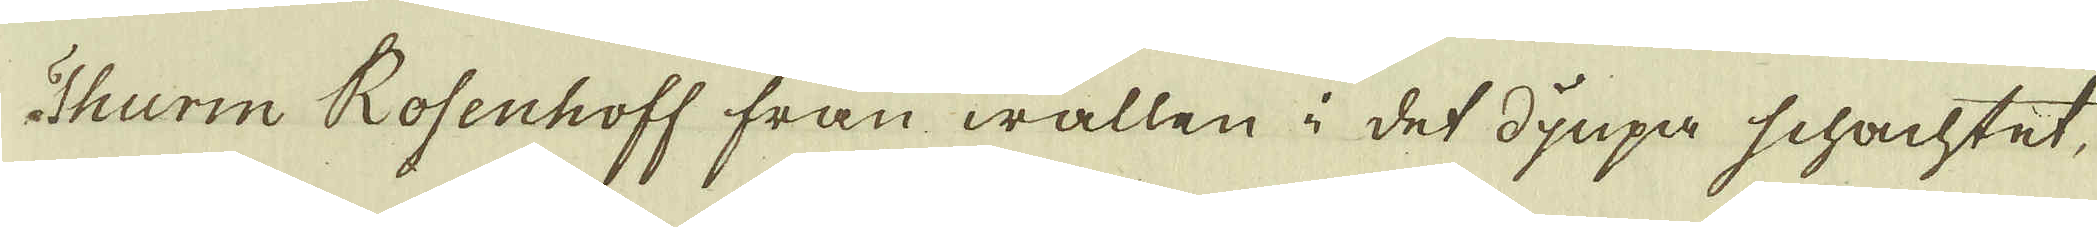Thurm Rofenhoff från wallen i det djupa schachtet
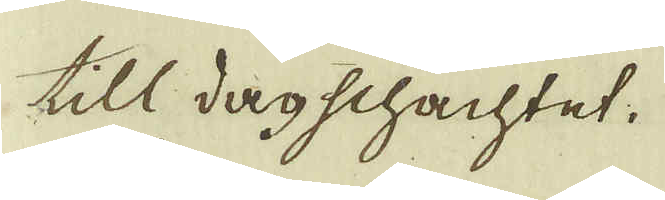till dagschachtet.
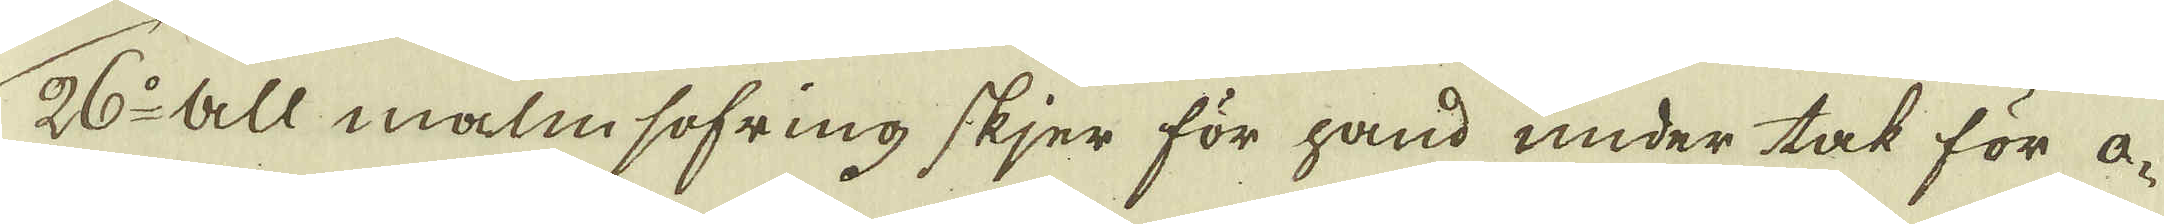26:o All malm sofring skjer för hand under tak för o-
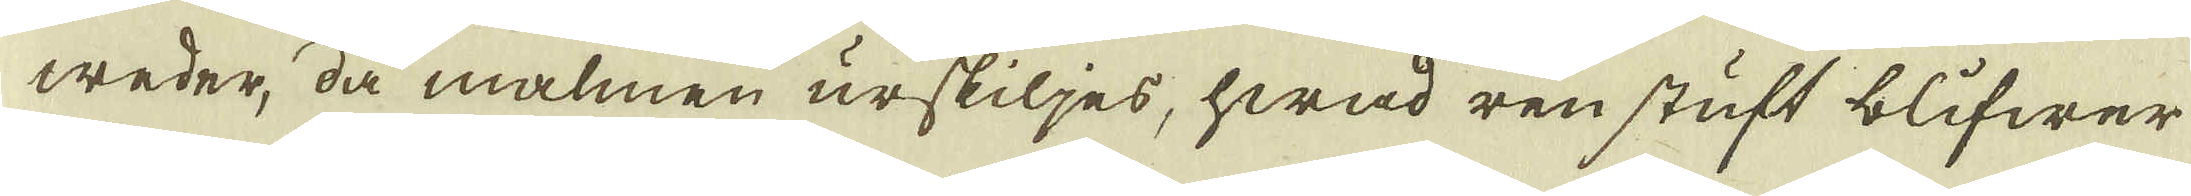weder, då malmen urskiljes, hwad ren stuft blifwer
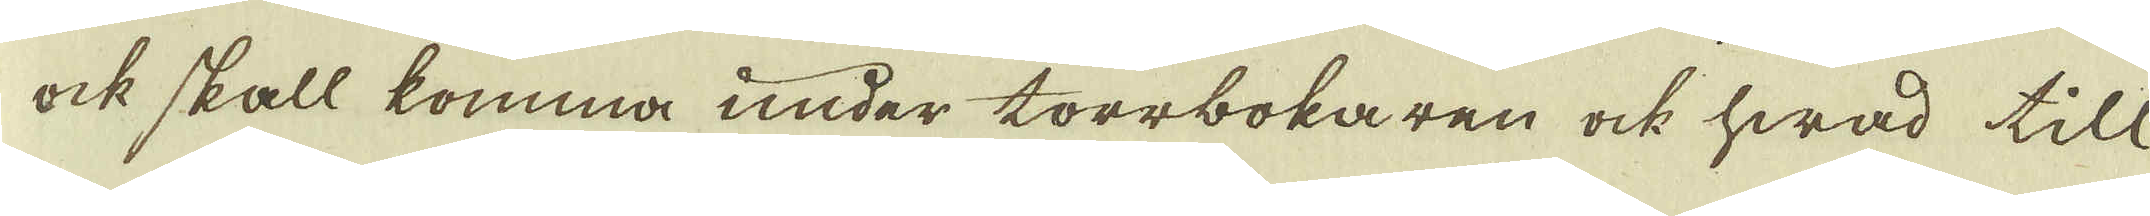ock skall komma under torrbokaren ock hwad till
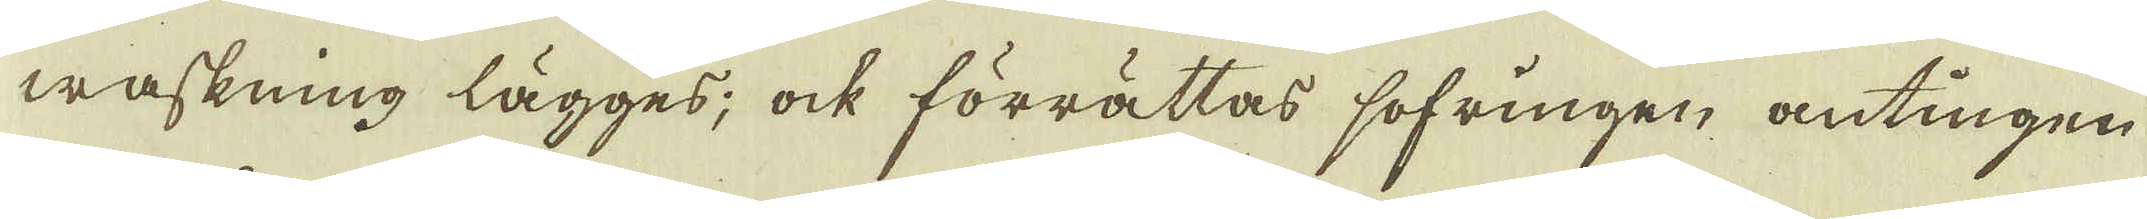waskning lägges; ock förrättas sofringen antingen
